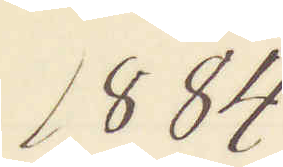1884
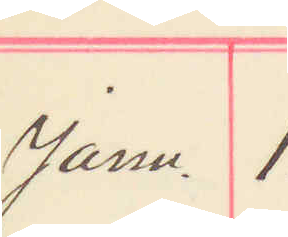Janu. 1.
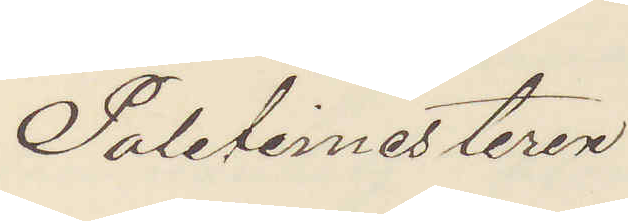Politimesteren
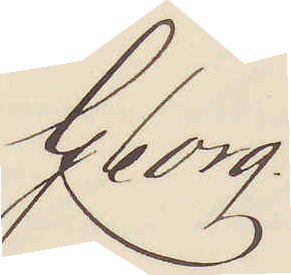Gborg.
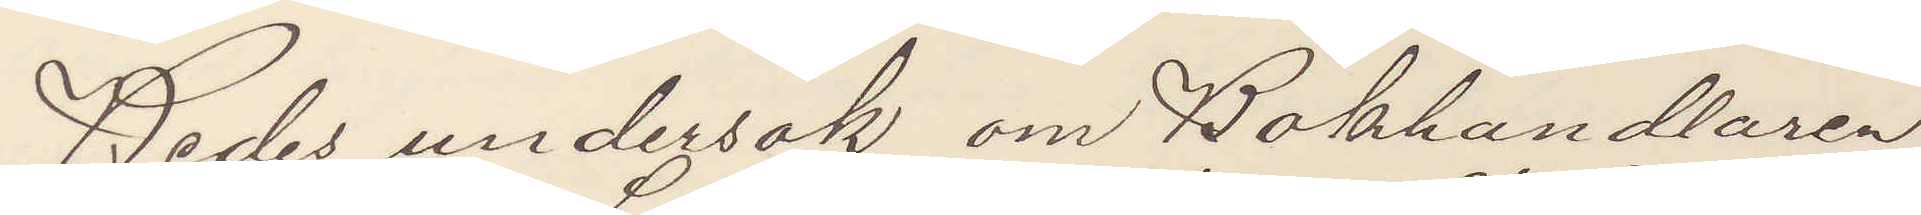Bedes undersök om Bokhandlaren
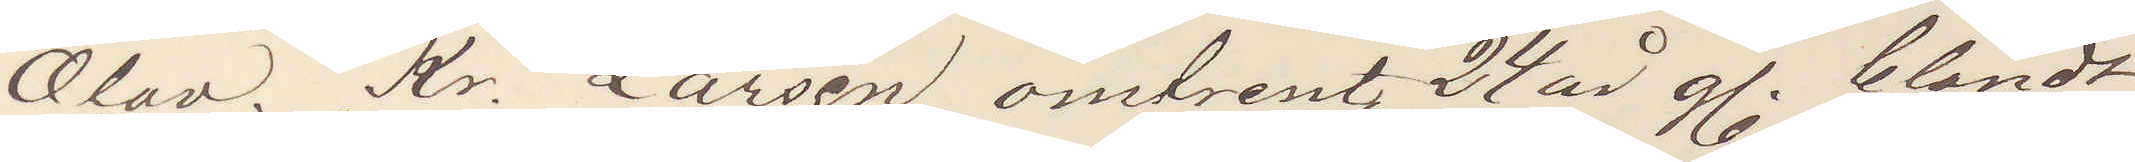Olav. Kr. Larsen, omtrent 24 år g. blondt
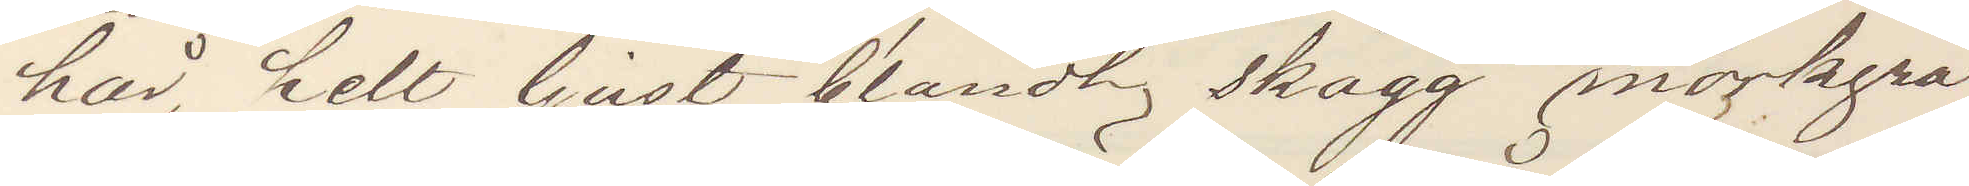hår, helt ljust blondt skägg mörkgrå
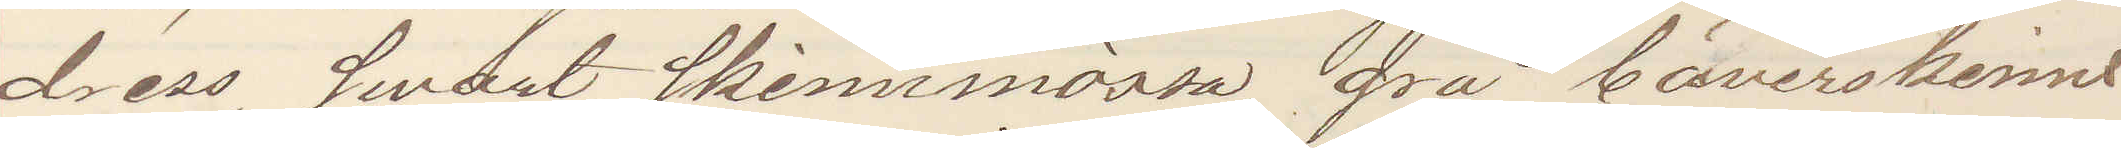dress, swart skinnmössa, grå bäverskinns
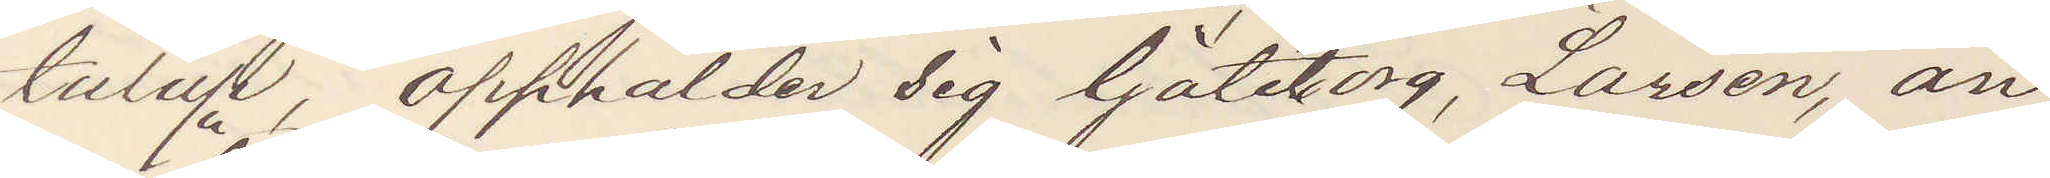tulup, opphålder sig Göteborg, Larsen, an¬
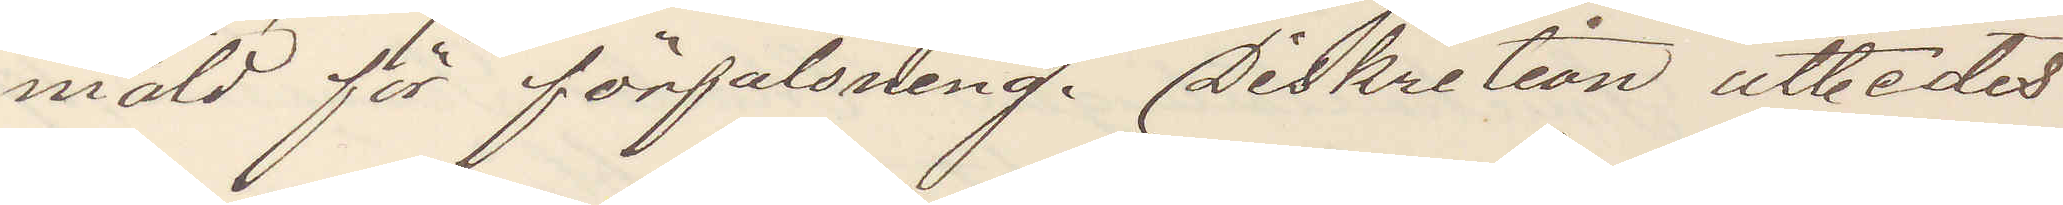mäld för förfalsning. Diskretion utbedes
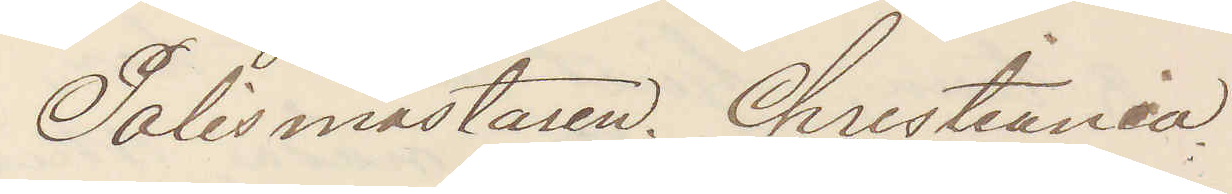Polismästaren Christiania
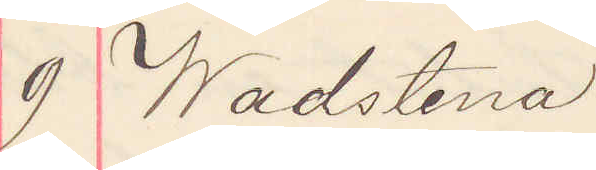9 Wadstena
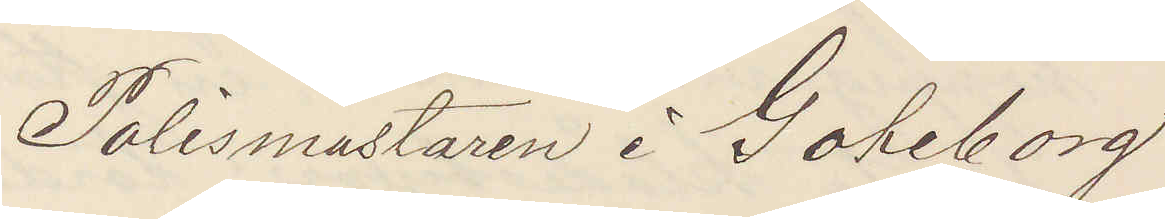Polismästaren i Göteborg
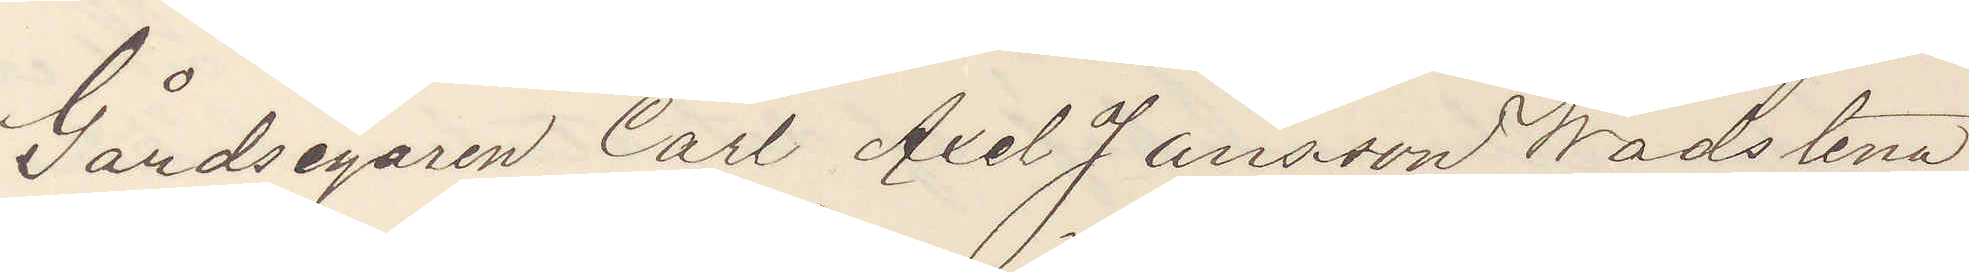Gårdsegaren Carl Axel Jansson Wadstena,
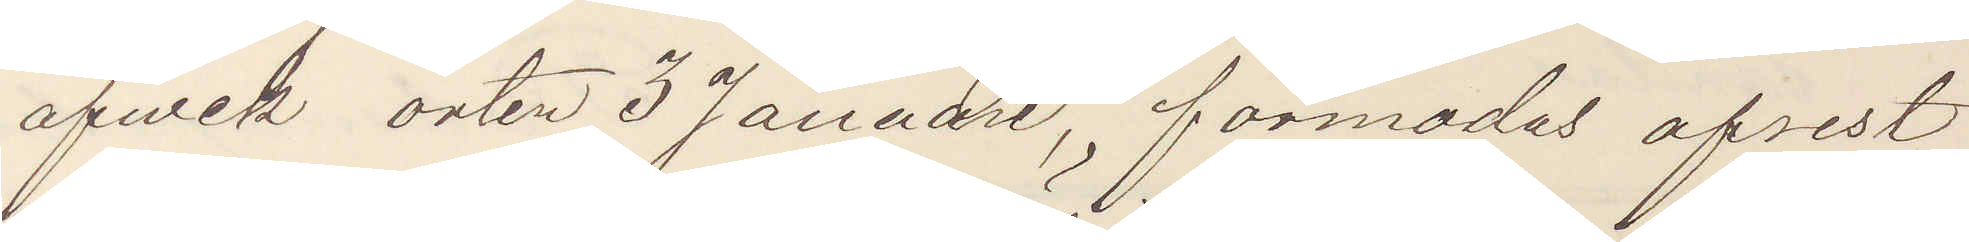afwek orten 3 Januari, förmodas afrest
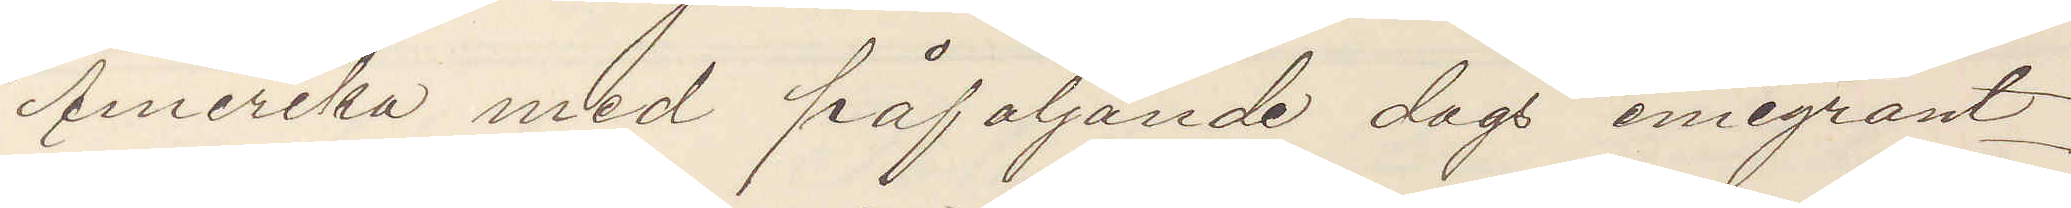Amerika med påföljande dags emigrant¬
